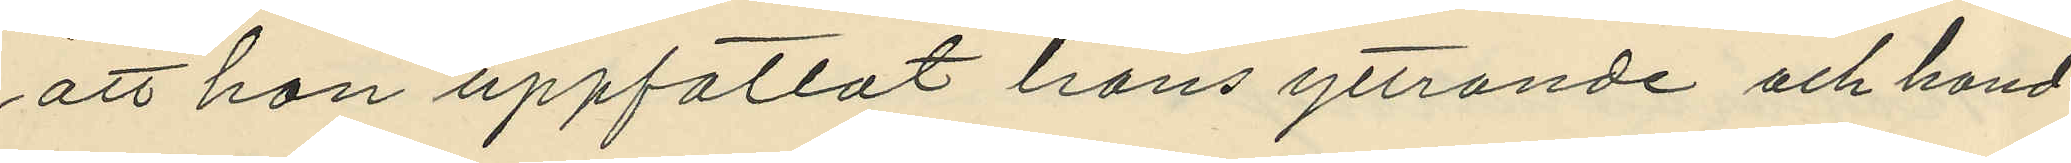att hon uppfattat hans yttrande och hand¬
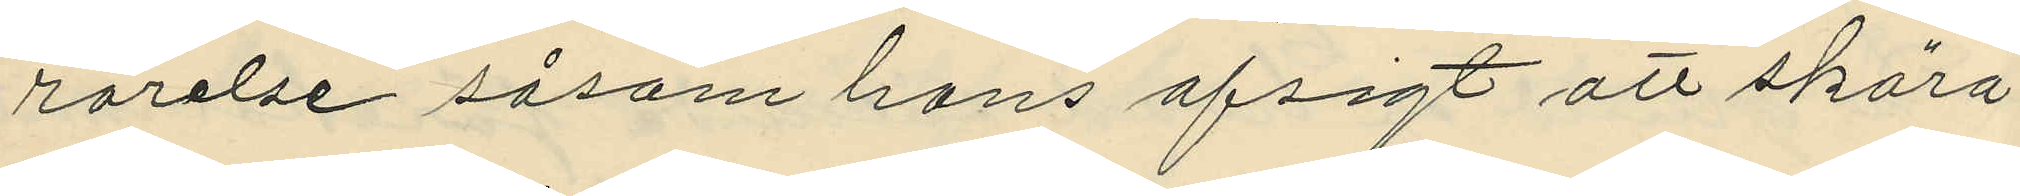rörelse såsom hans afsigt att skära
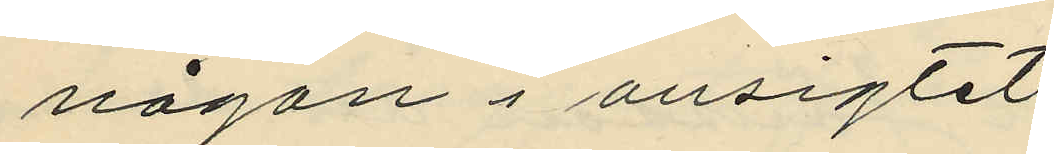någon i ansigtet.
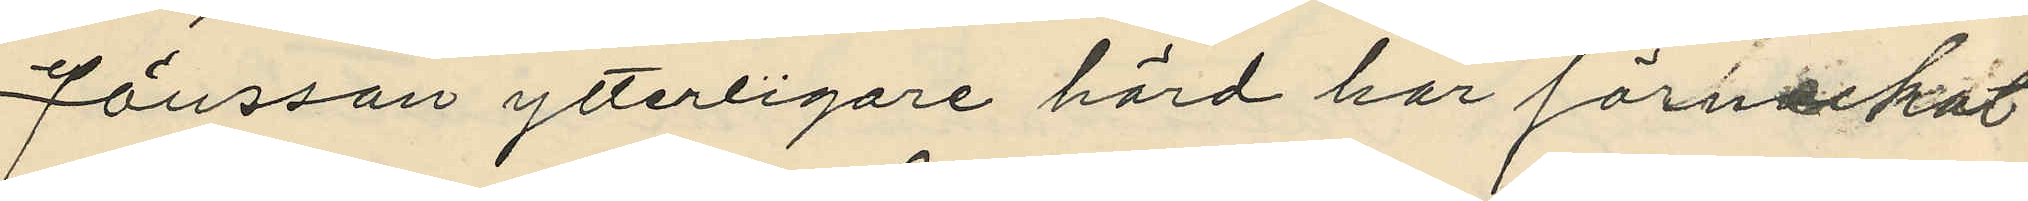Jönsson ytterligare hörd har förneckat
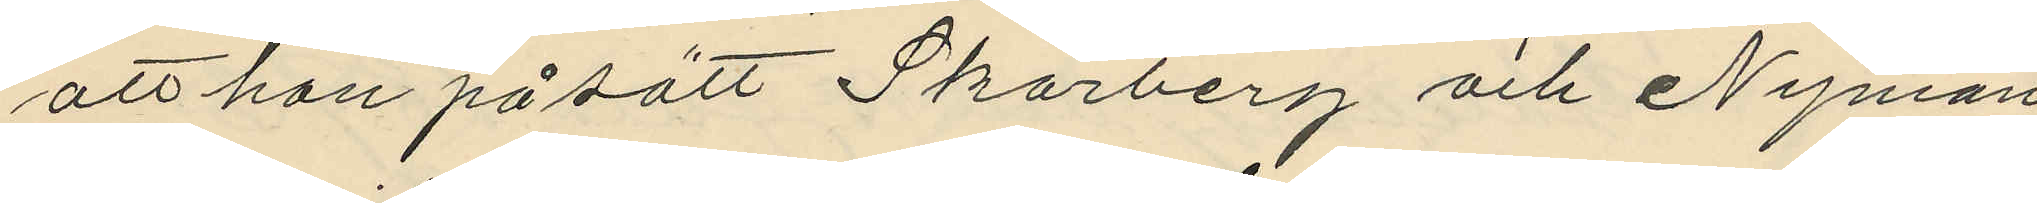att han på sätt Skärberg och Nyman
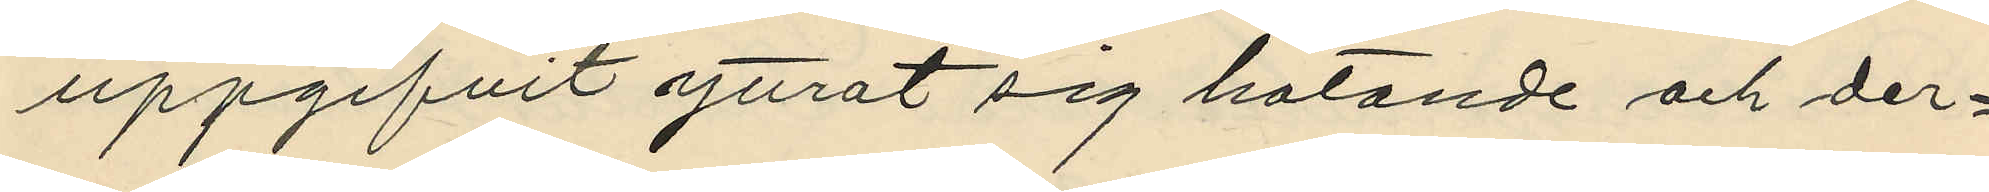uppgifvit yttrat sig hotande och der¬
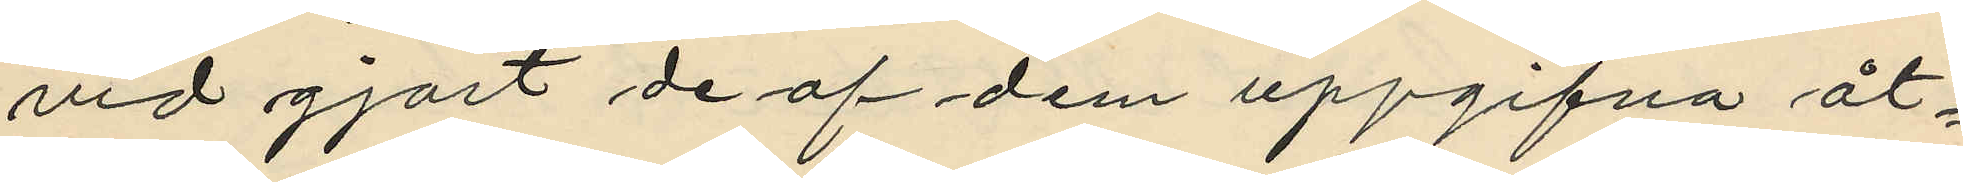vid gjort de af dem uppgifna åt¬
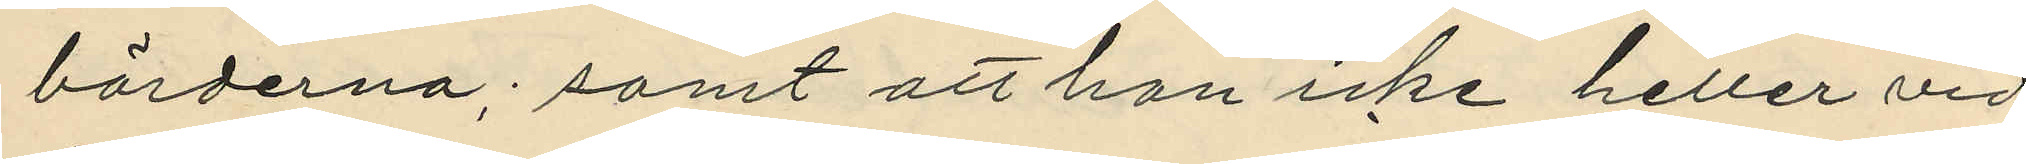börderna; samt att han icke heller vid
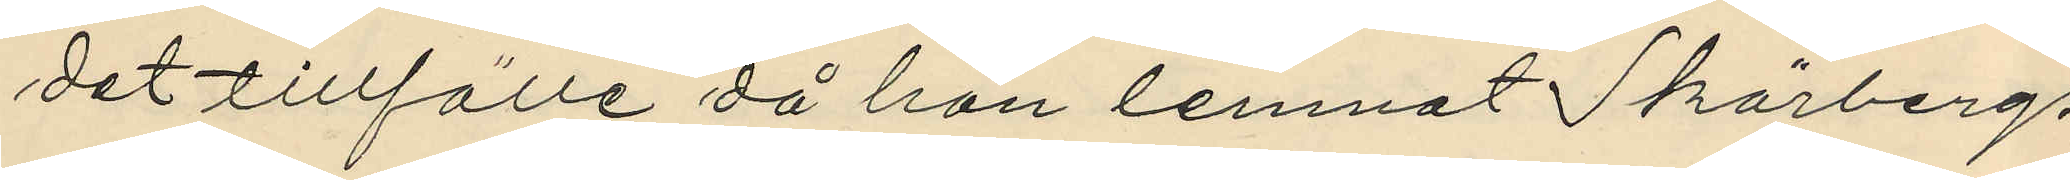det tillfälle då han lemnat Skärbergs
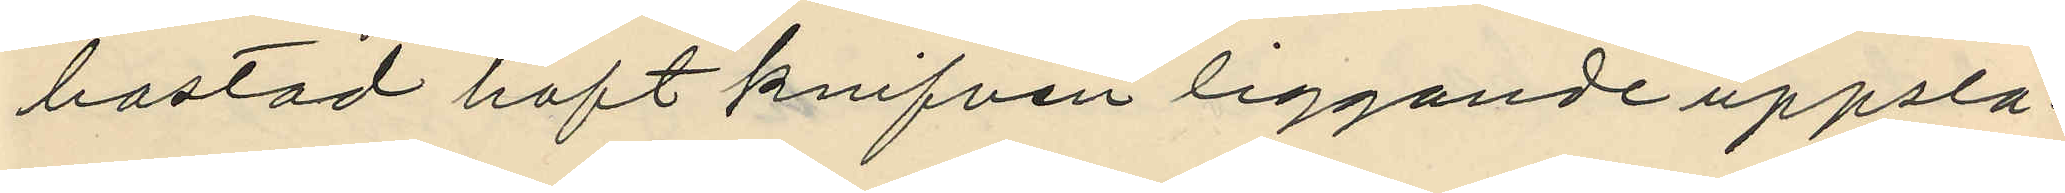bostad haft knifven liggande uppsla¬
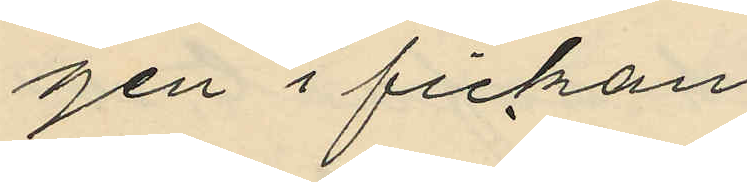gen i fickan.
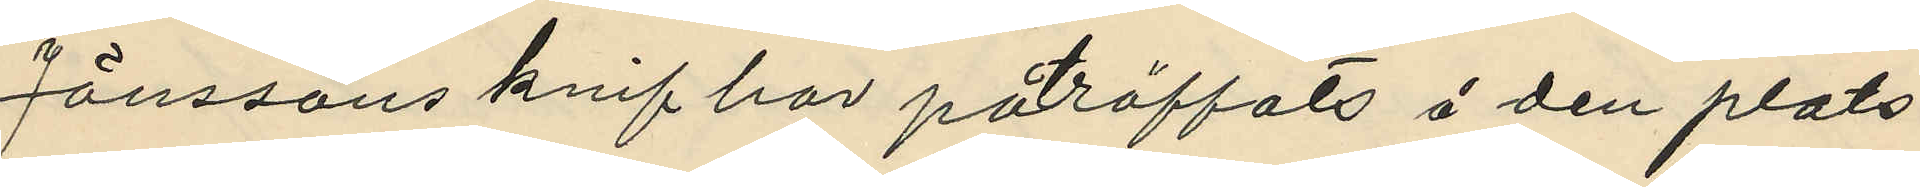Jönssons knif har påräffats å den plats,
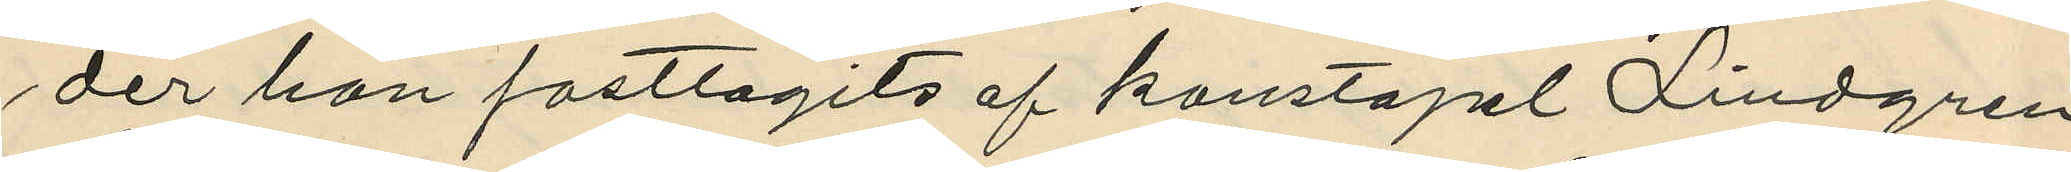der han fasttagits af konstapel Lindgren
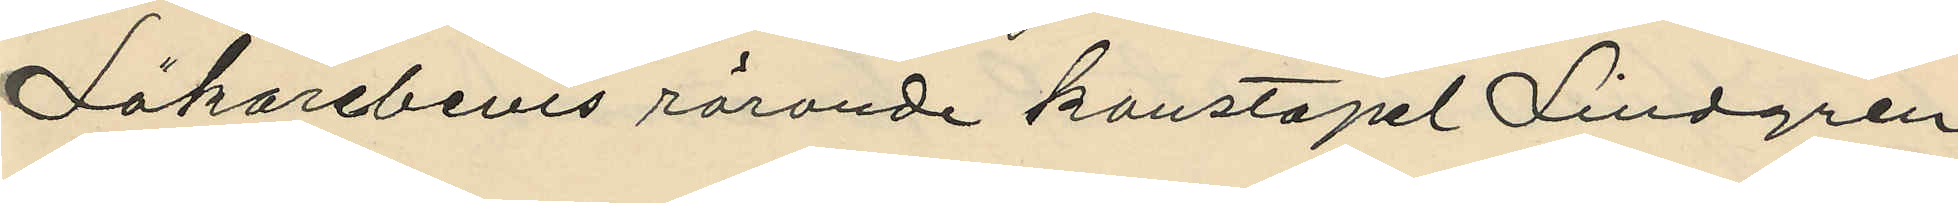Läkarebevis rörande konstapel Lindgren
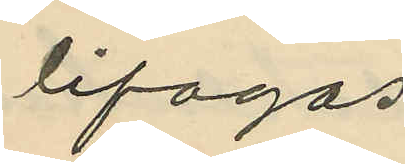bifogas
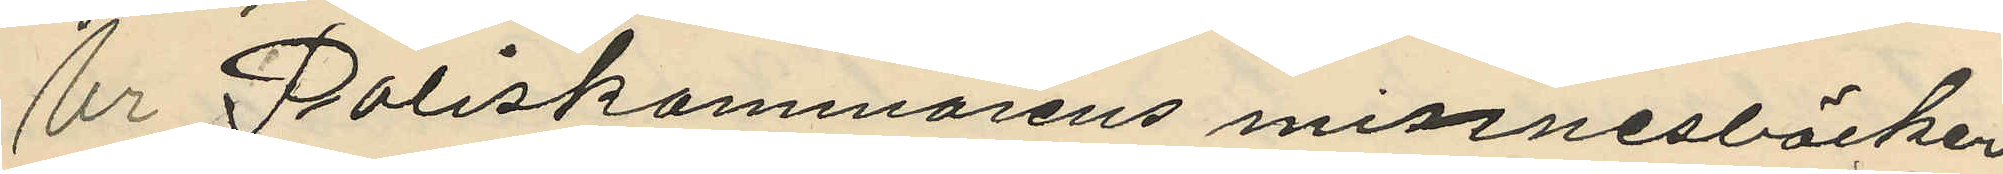Ur Poliskammarens minnesböcker
